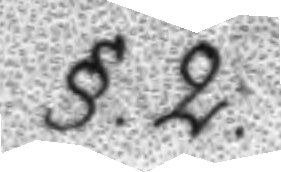§.2.
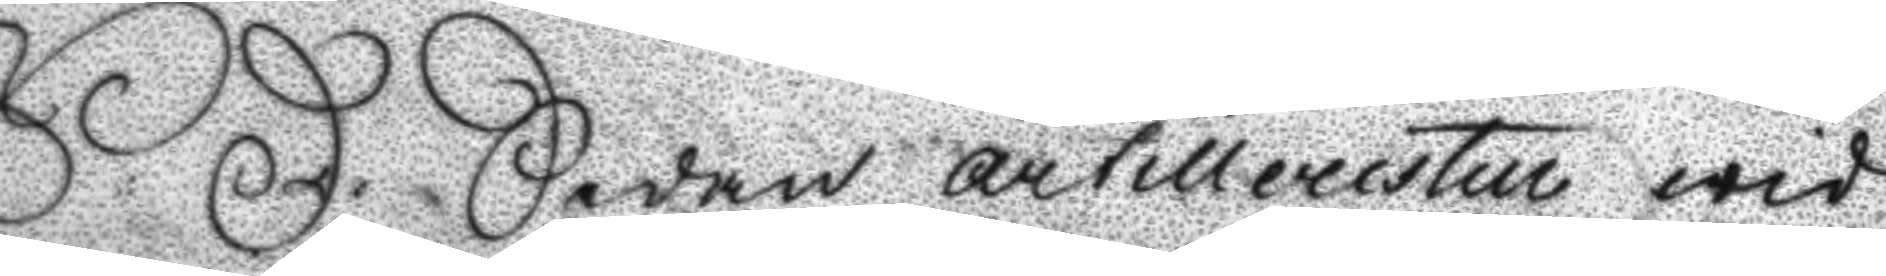S:D: Sedan artilleristen wid
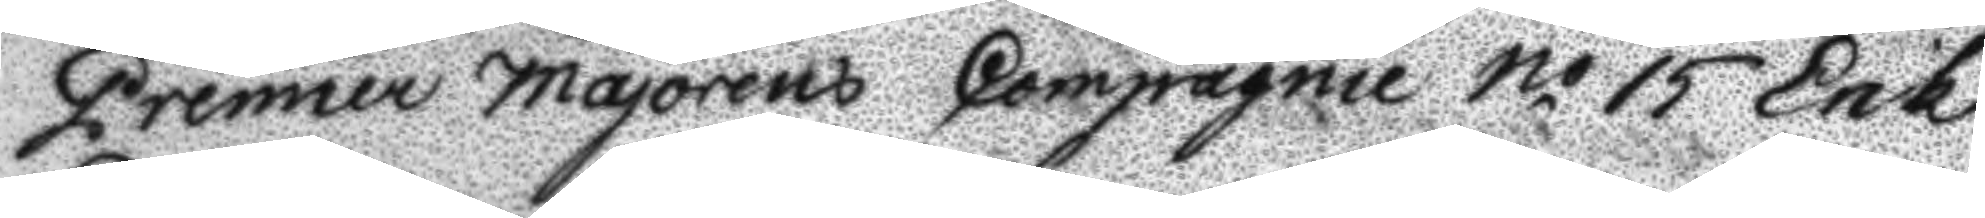Premier Majorens Compagnie N.o 15 Erik
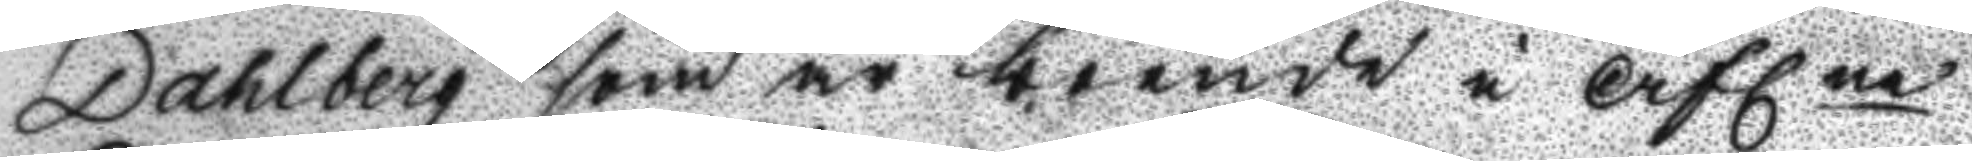Dahlberg som är boende i Aflne
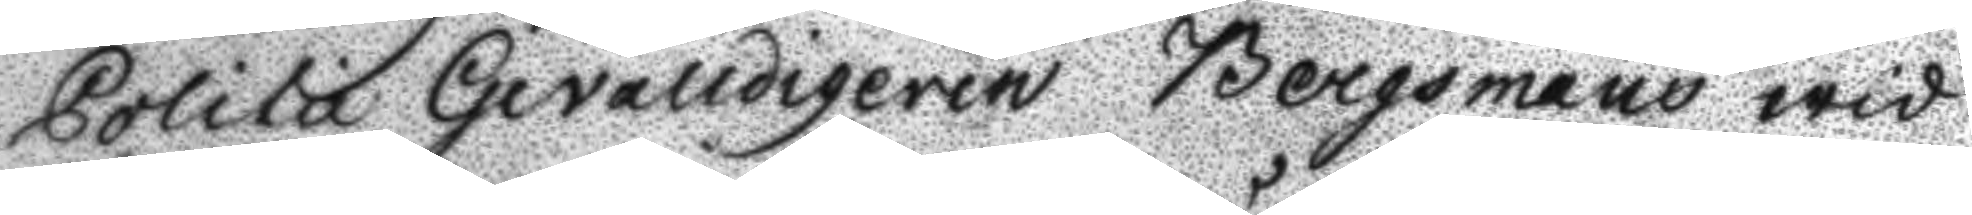Politie Gevalldigeren Bergmans wid
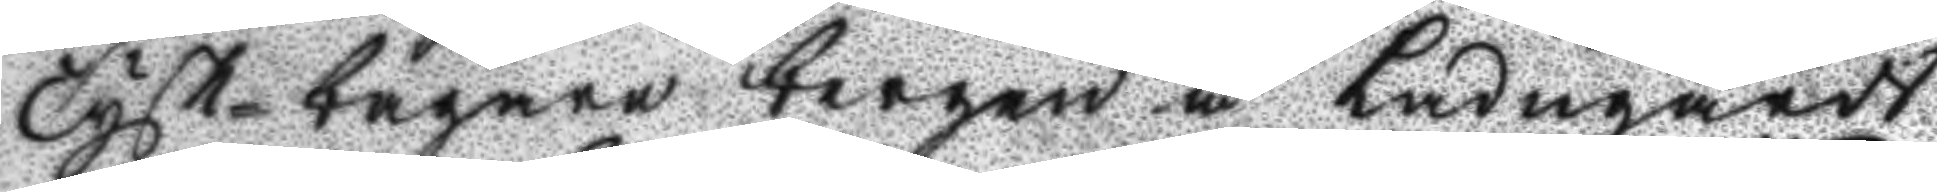Tysk-bagare bergen å Ladugårds
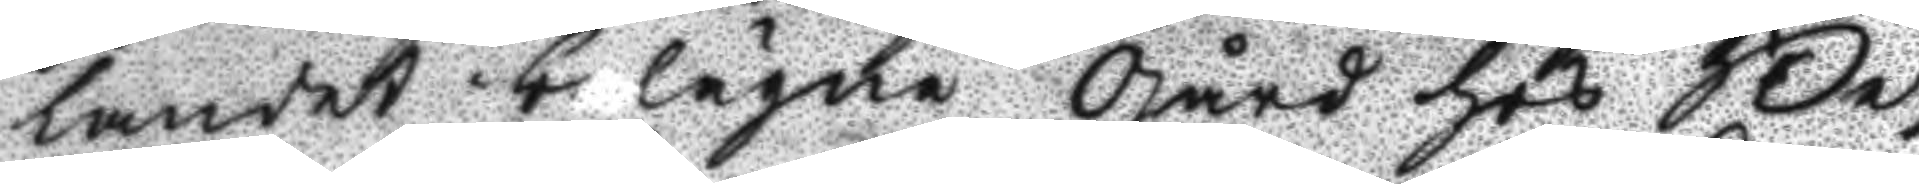landet belägne gård hos Be¬
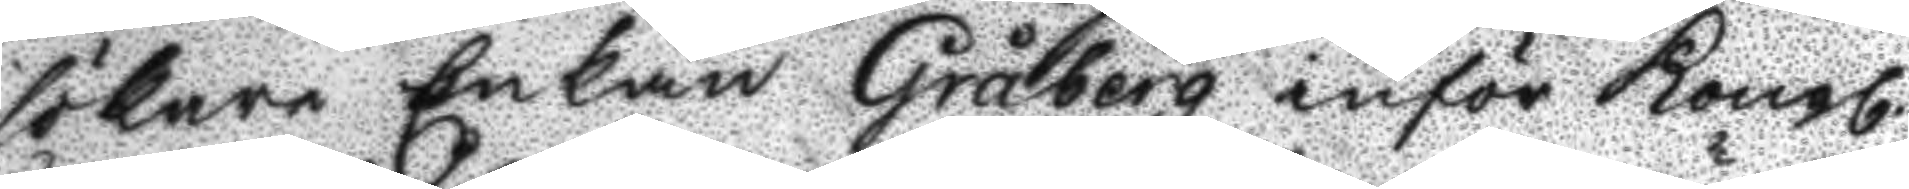sökare Enkan Gråberg inför Kongl.
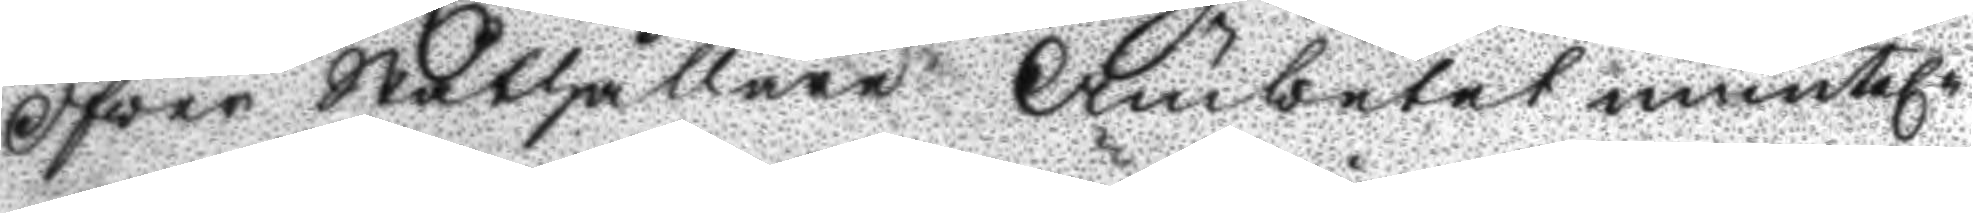Öfwer Ståthållare Ämbetet muntel.
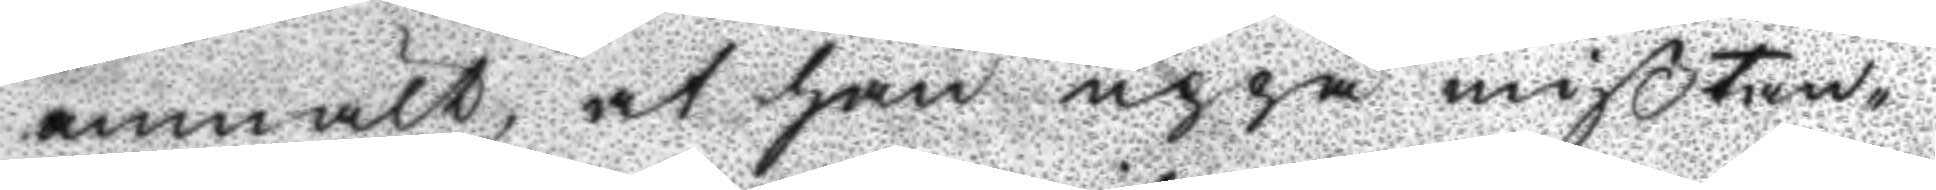anmält, at han uppå mißtan¬
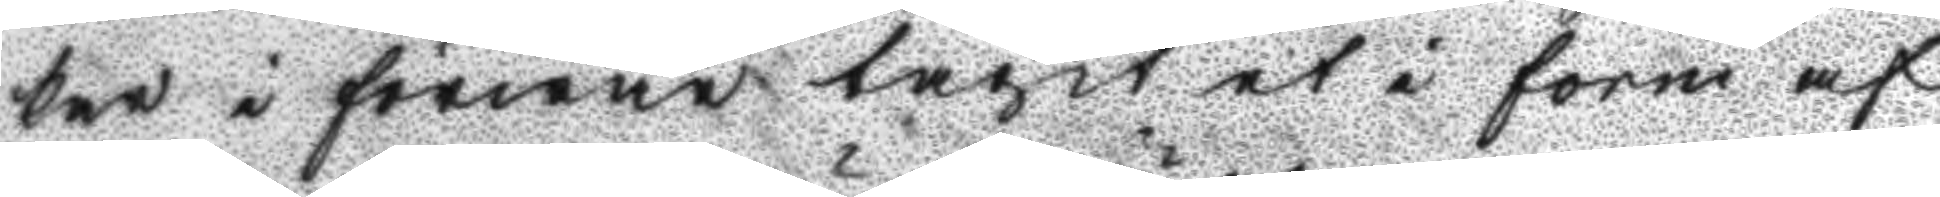ker i förwar tagit et i form af
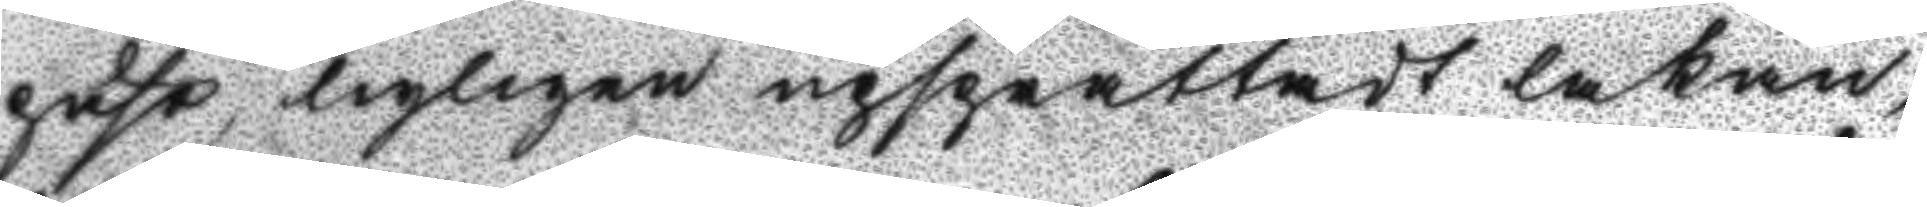pute, nyligen upsprättadt lakan,
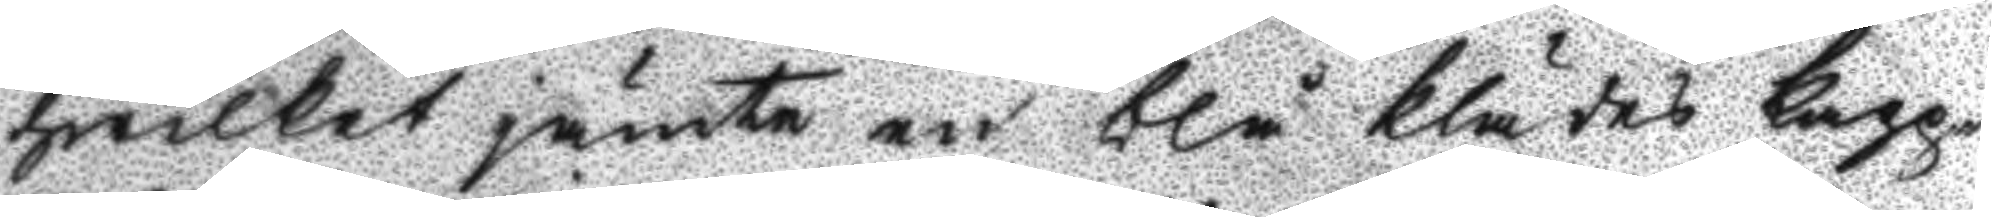hwilket jämte en blå klädes kapp¬
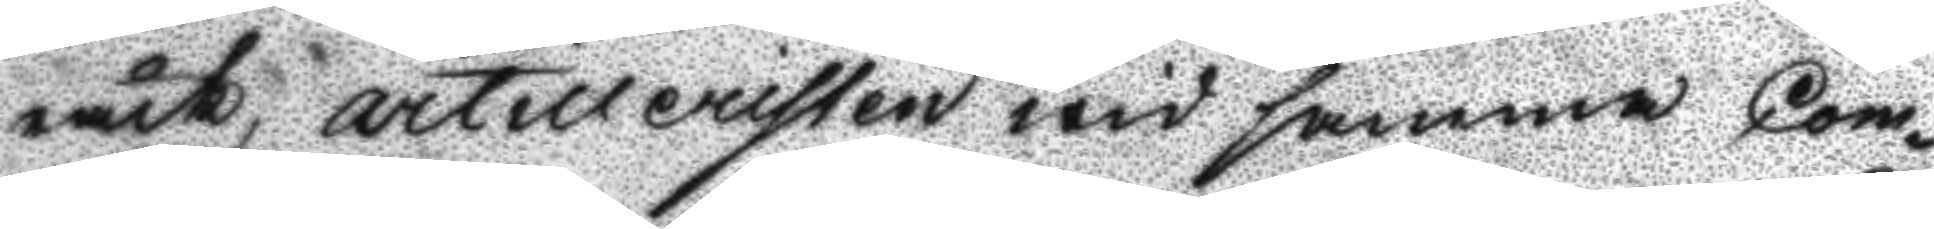råck, artilleristen wid samma Com¬
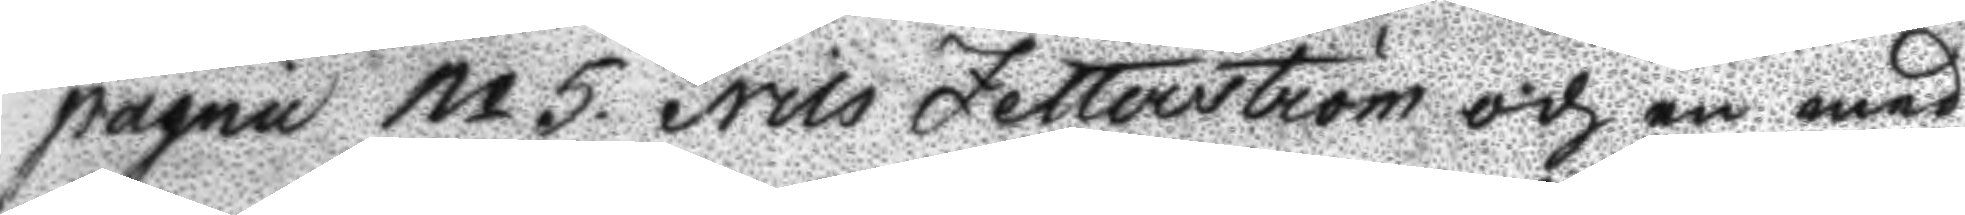pagnie No 5. Nils Zetterström och en med 
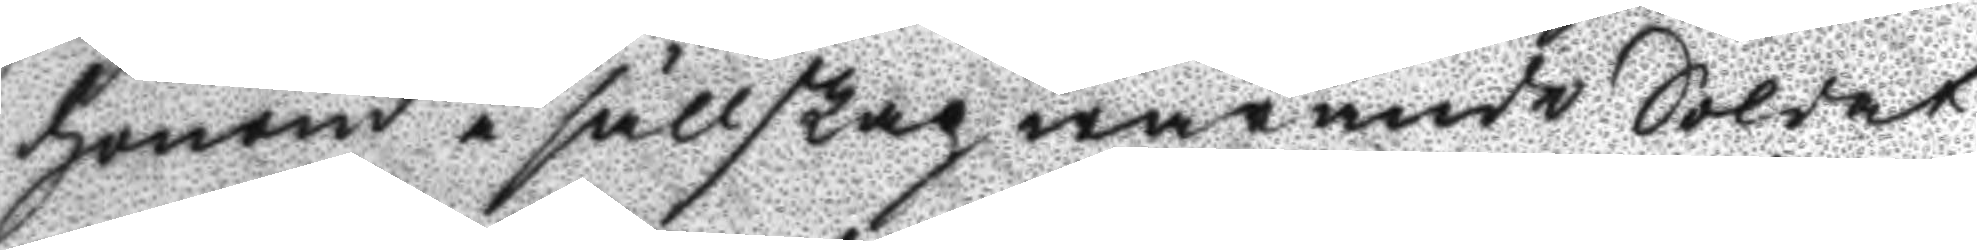honom i sällskap warande Soldat
